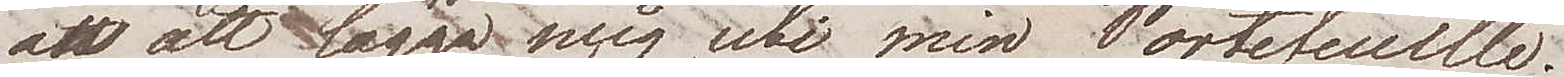än att lägga mig uti min Portefeuille.
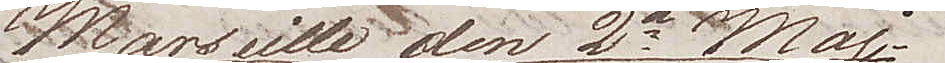Marseille den 2e Maj
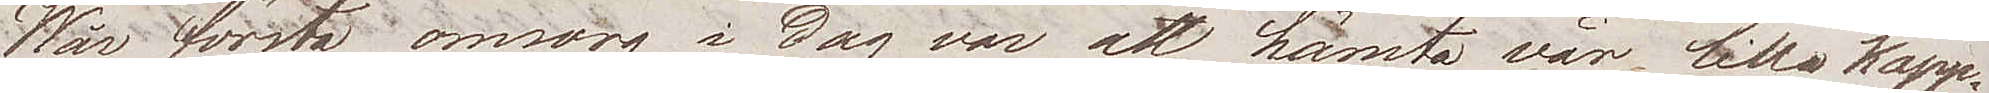Wår första omsorg i dag var att hämta vår lilla kapp¬
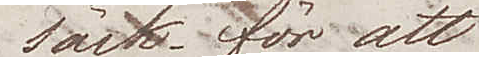säck för att
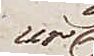ur
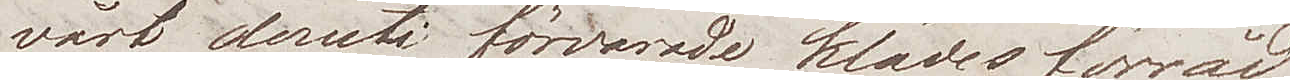vårt deruti förvarade klädesförråd
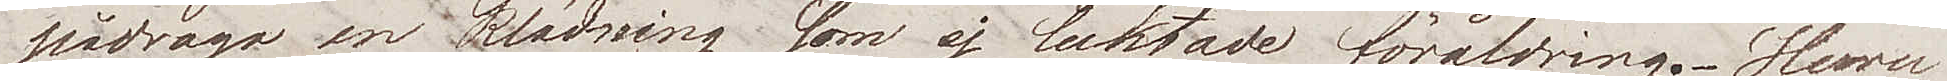pådraga en klädning som ej luktade föråldring. Huru
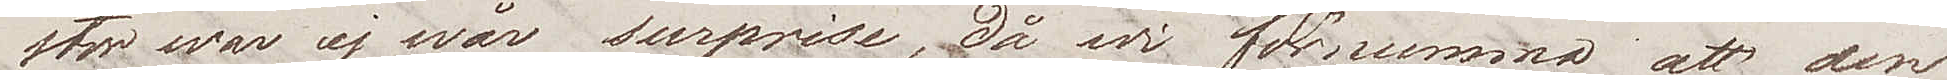stor war ej wår surprise, då wi förnummo att den
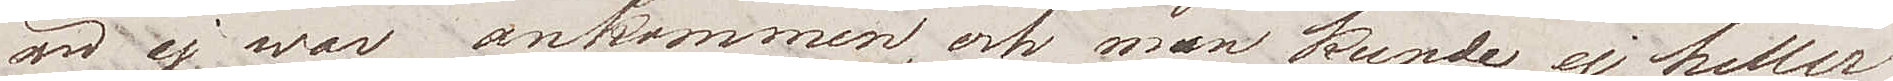än ej war ankommen, och man kunde ej heller
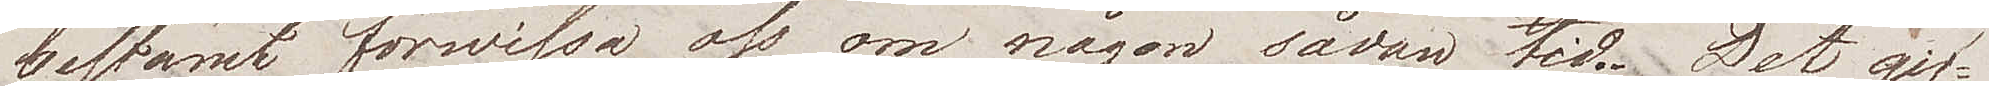bestämt förwissa oss om någon sådan tid. Det gif¬
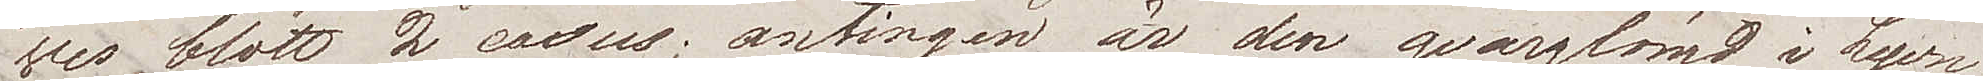ves blott 2 casus; antingen är den qvarglömd i Lyon,
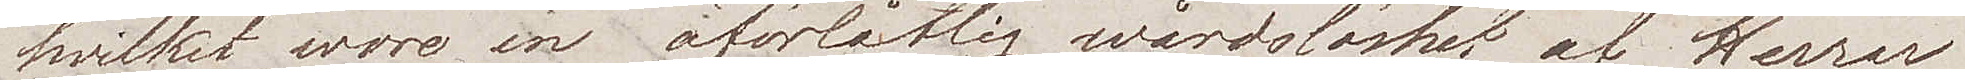hvilket wore en förlåtlig wårdslöshet af Herrar
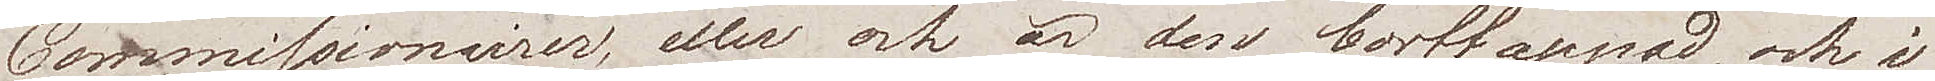Commissionnairer, eller ock är den borttappad, och i
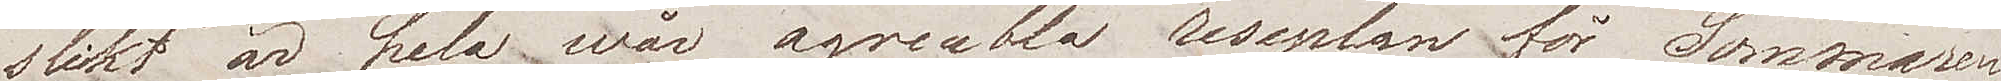slikt är hela wår agreabla reseplan för Sommaren
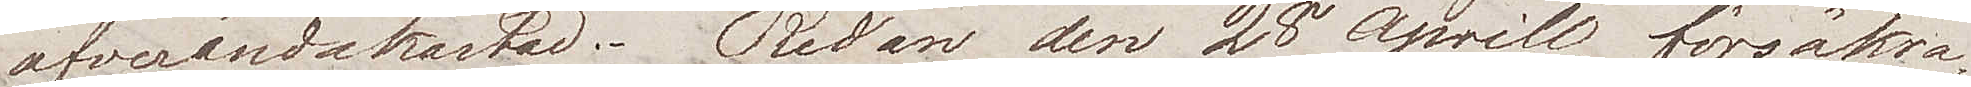öfverändakastad. Redan den 28e Aprill försäkra¬
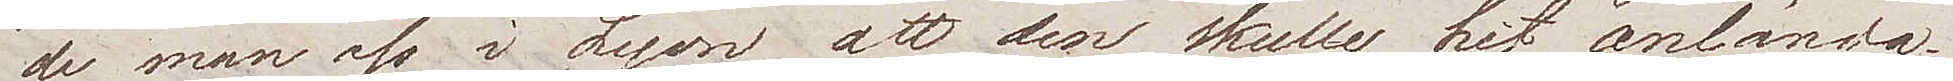de man oss i Lyon att den skulle hit anlända
